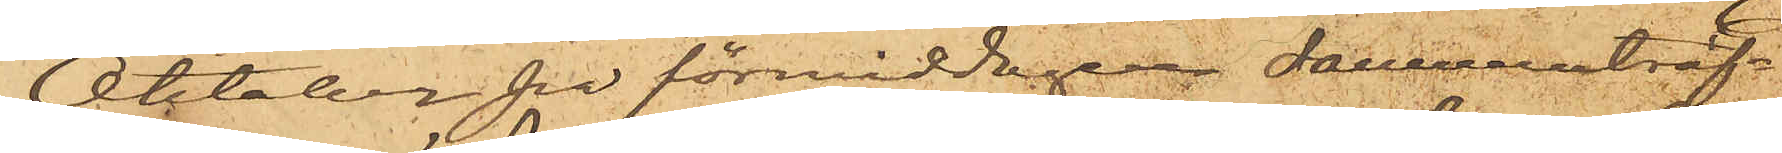Oktober på förmiddagen sammanträf¬
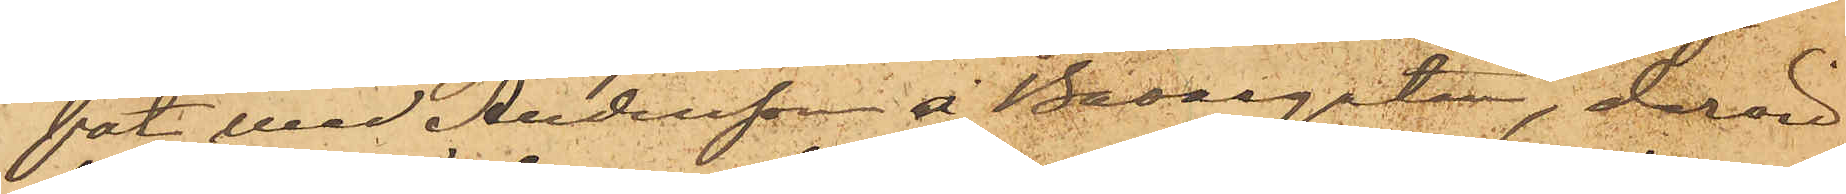fat med Andersson å Bazargatan, dervid
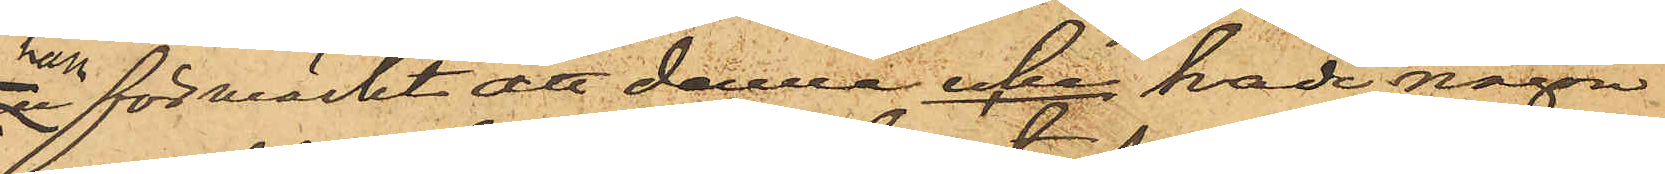han förmärkt att denne icke hade någon
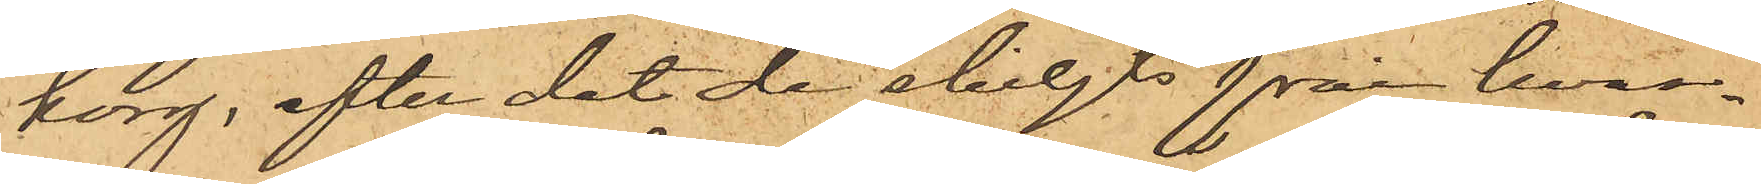korg, efter det de skiljts från hvar¬
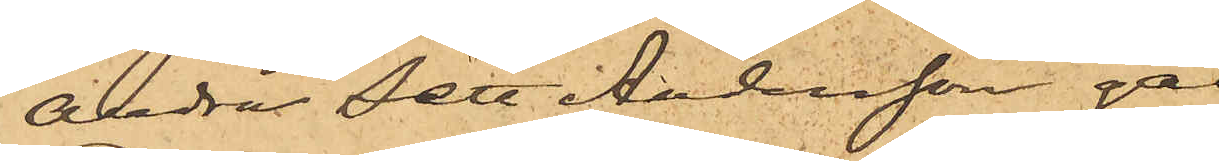andra sett Andersson gå
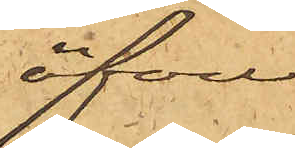öfver
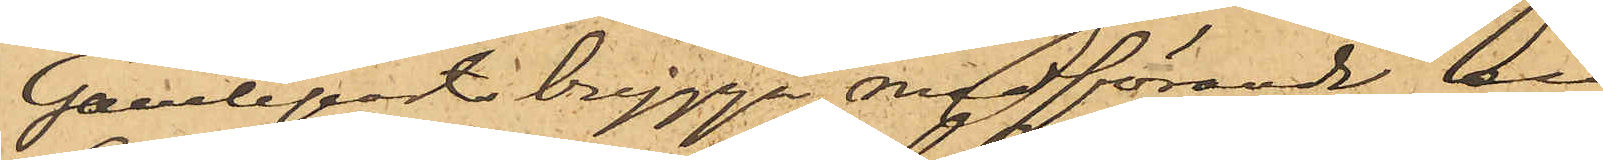Gamleports brygga medförande en
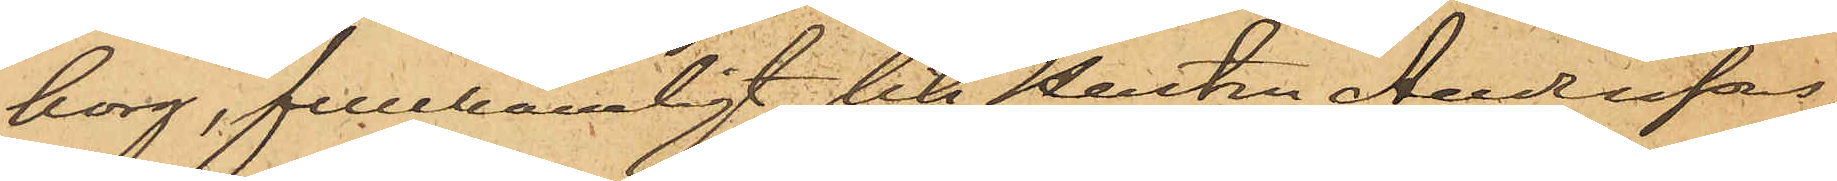korg, fullkomligt lik Hustru Anderssons.
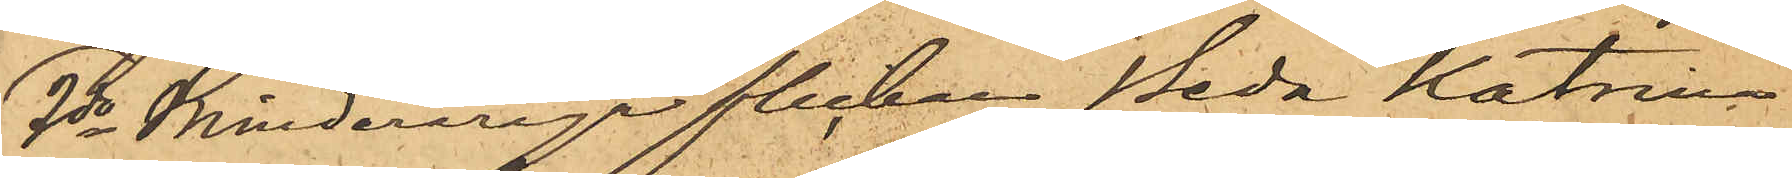2do Minderåriga flickan Beda Katrina
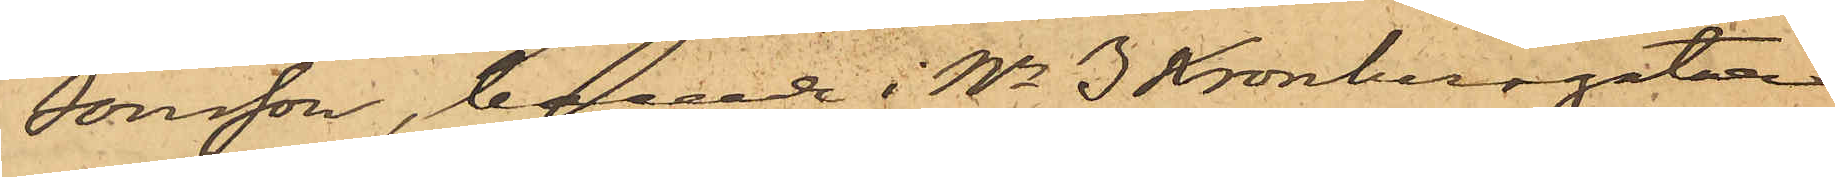Jonsson, boende i No 3 Kronhusgatan
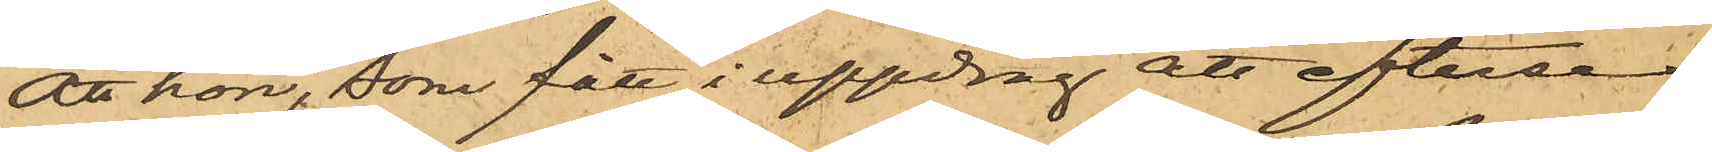att hon, som fått i uppdrag att efterse
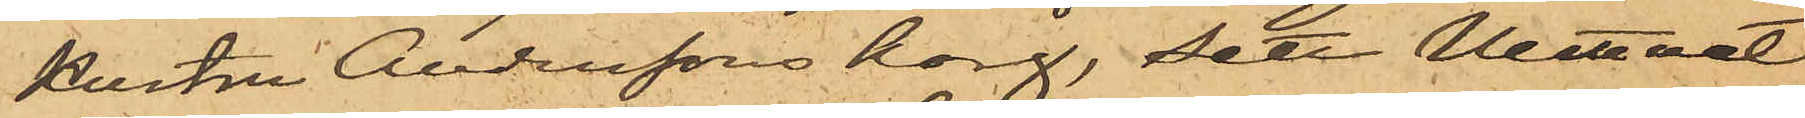Hustru Anderssons korg, sett Wittnet
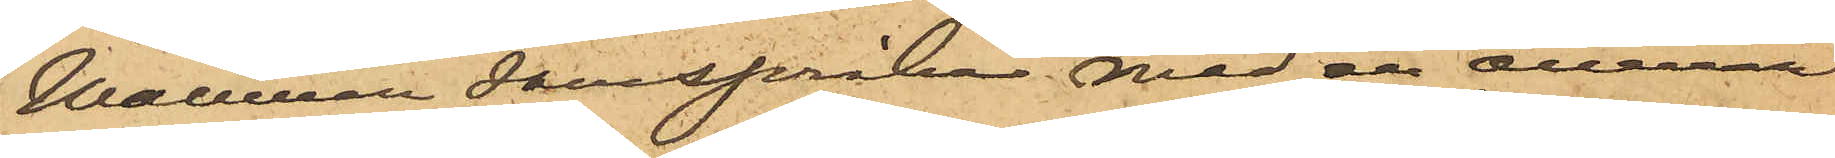Hallman samspråka med en annan
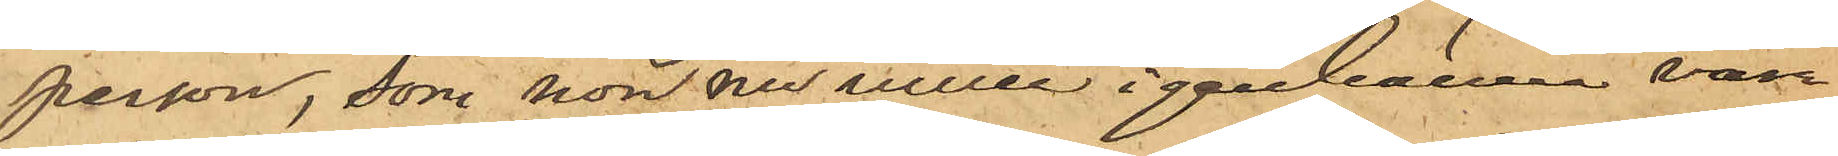person, som hon numera igenkänner vara
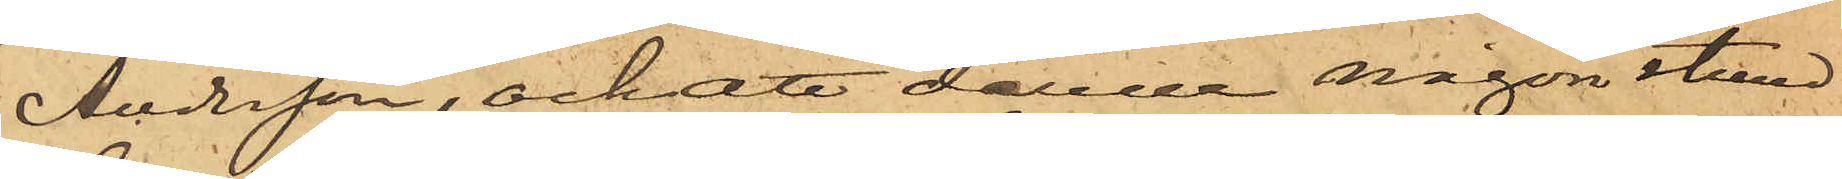Andersson, och att denne någon stund
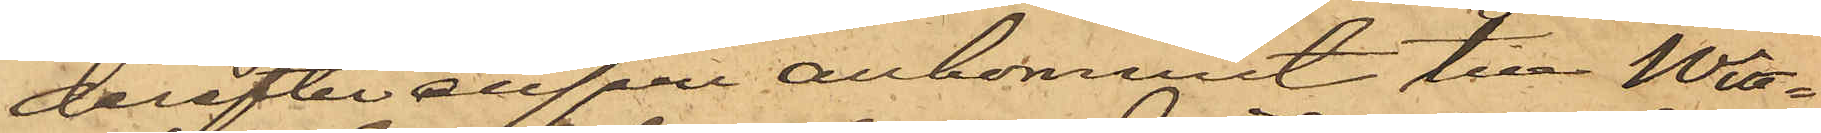derefter ensam ankommit till Witt¬
